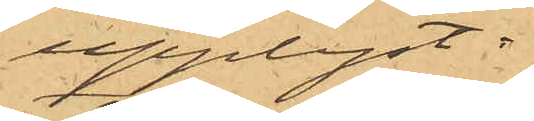upplyst:
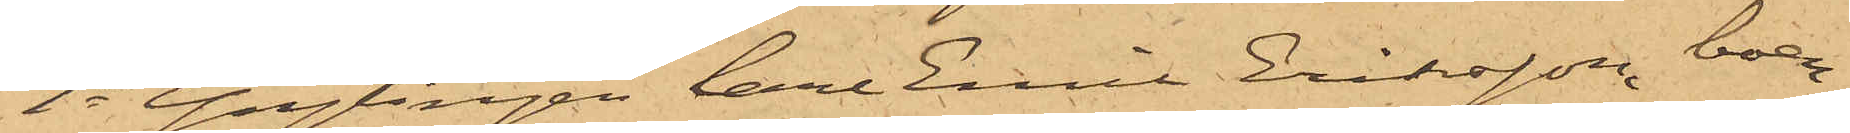1o Ynglingen Carl Emil Eriksson, boen¬
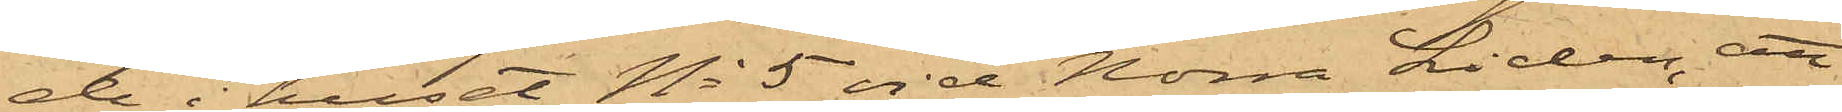de i huset No 5 vid Norra Liden, att
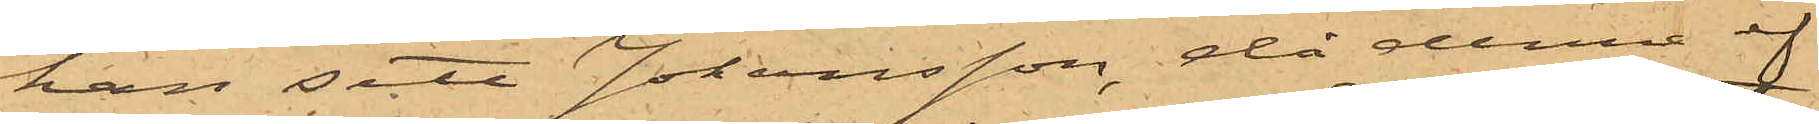han sett Johansson, då denne ef¬
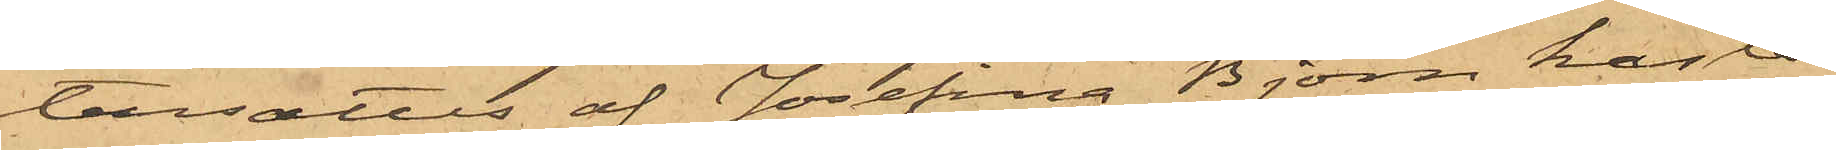tersattes af Josefina Björn kasta
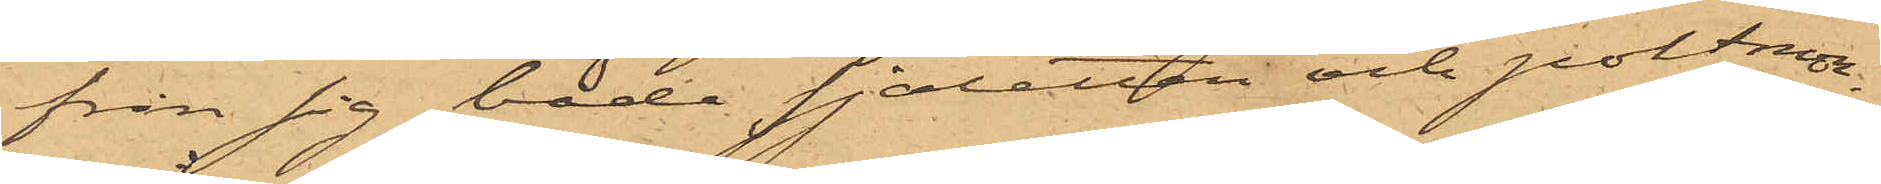från sig både sjaletten och portmon¬
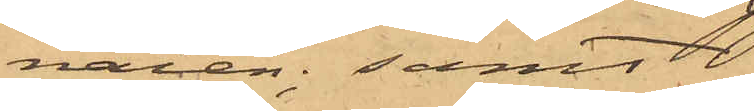naien; samt
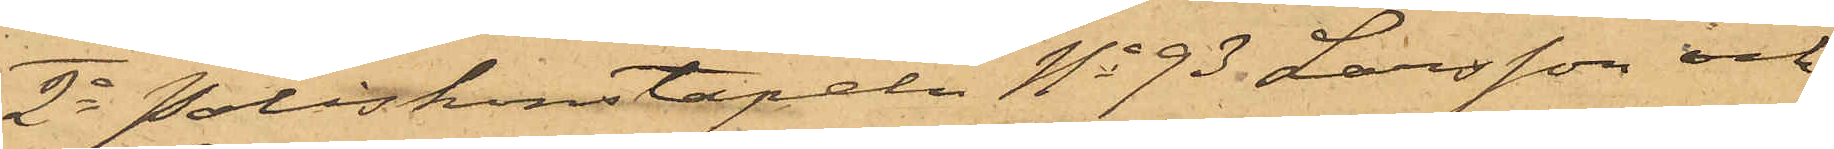2o Poliskonstapeln No 93 Larsson och
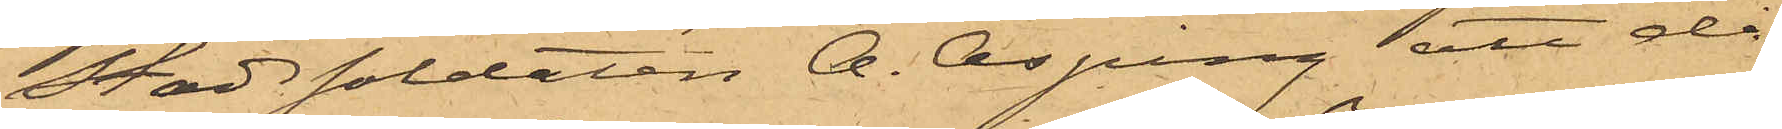Stadssoldaten A. Asping, att då
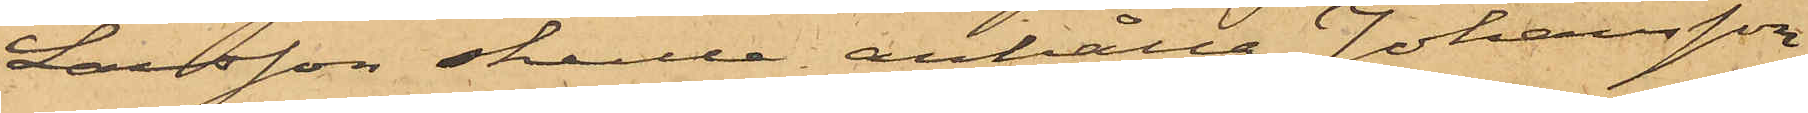Larsson skulle anhålla Johansson
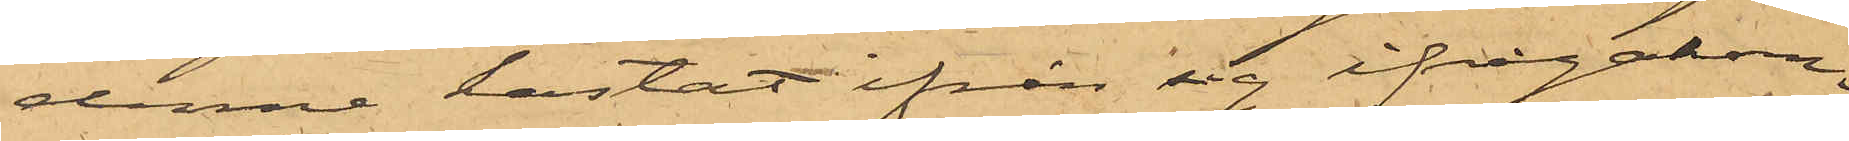denne kastat ifrån sig ifrågakom¬
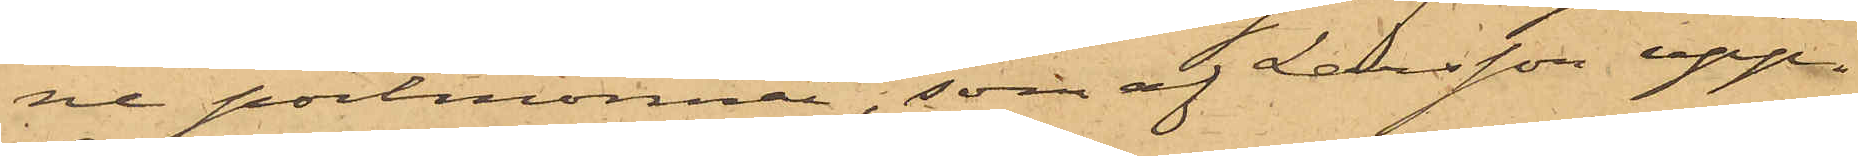ne portmonnai, som af Larsson upp¬
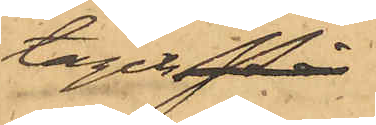tagits. På
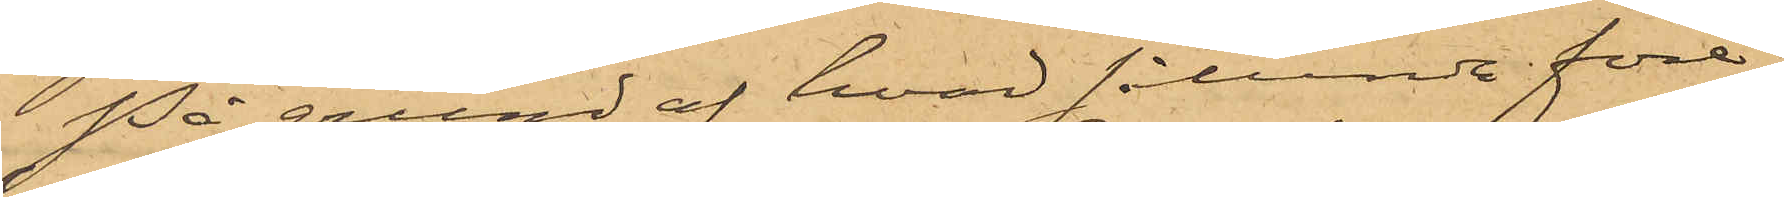På grund af hvad sålunda före¬
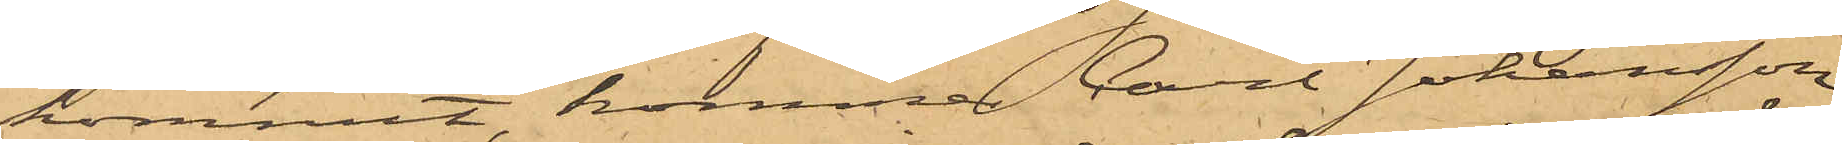kommit, kommer Carl Johansson
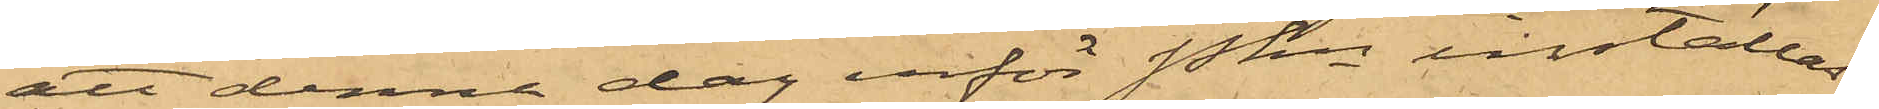att denna dag inför Pkn inställas.
